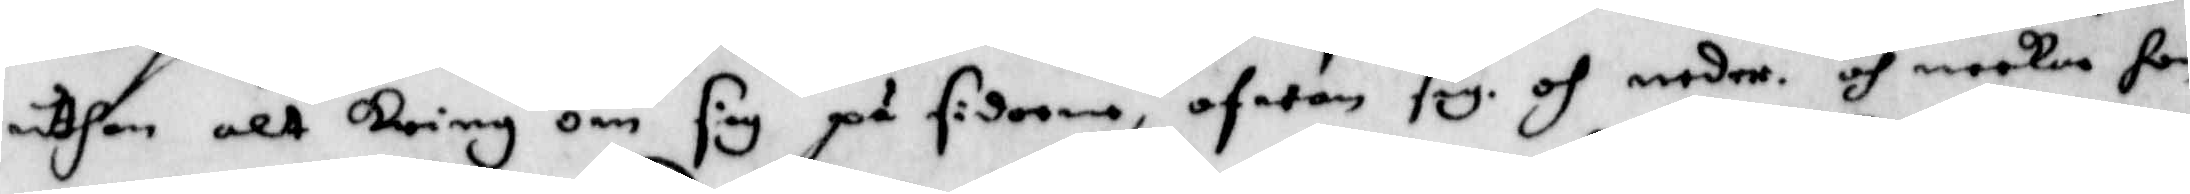uthan alt kring om sig på sidorna, ofwan sig och neder och neekar hon
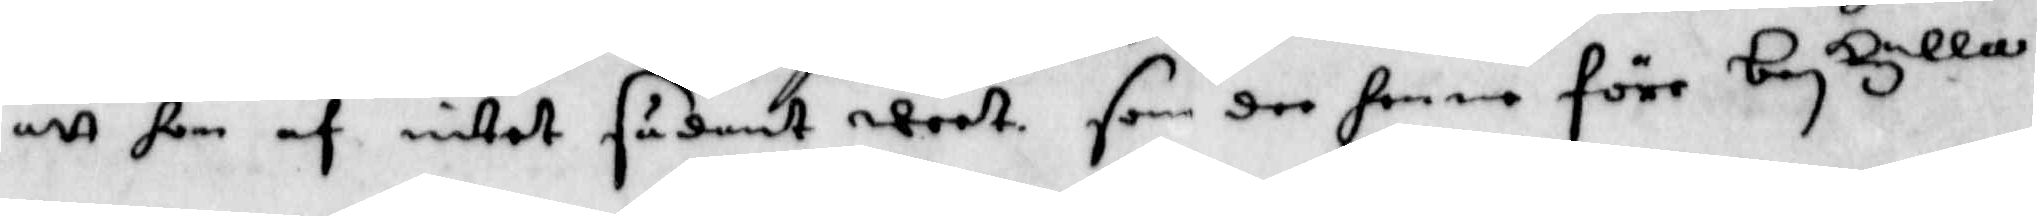att hon af intet sådant weet som dee henne före beskylla.
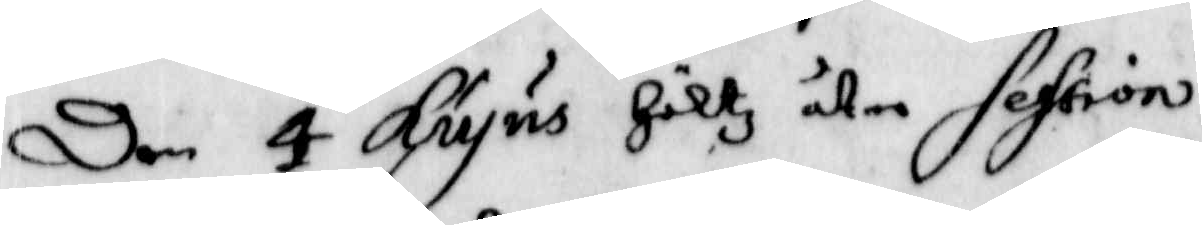Den 4 Hujus Höltz åter session.
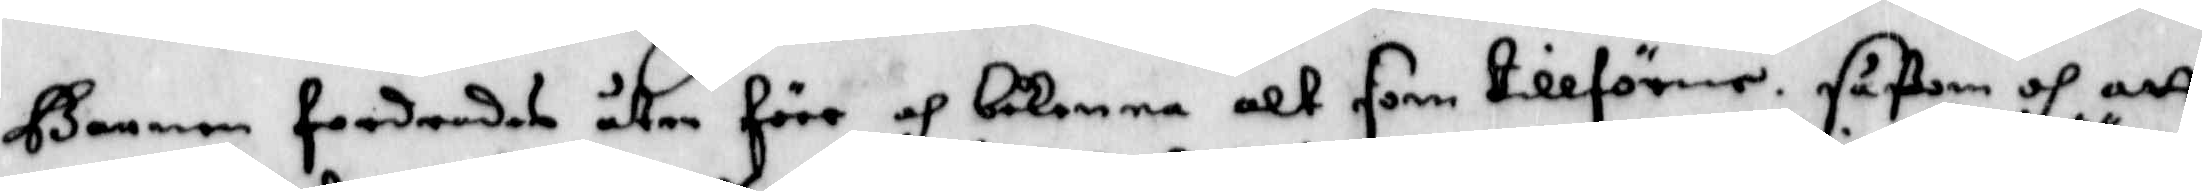barnen fordratdes åter före och bekenna alt som tillförne såßom och att
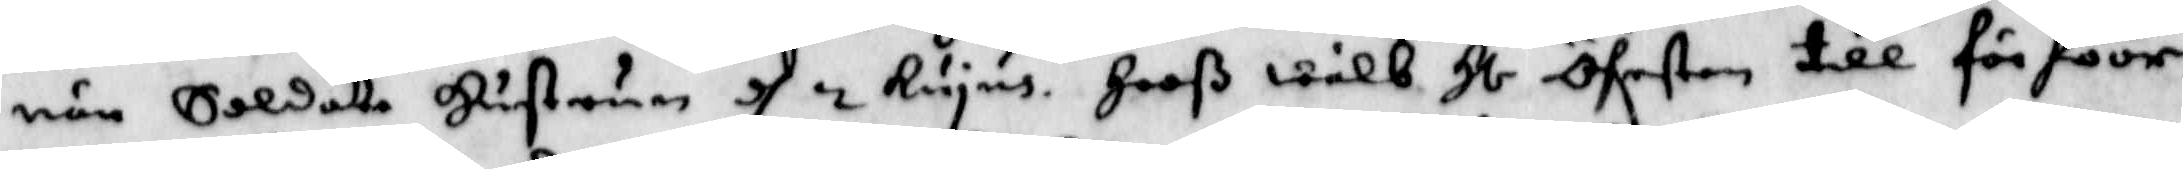när Soldat Hustrun d 2 Hujus Hooß wälb. Hl. Öfersten till förhöör
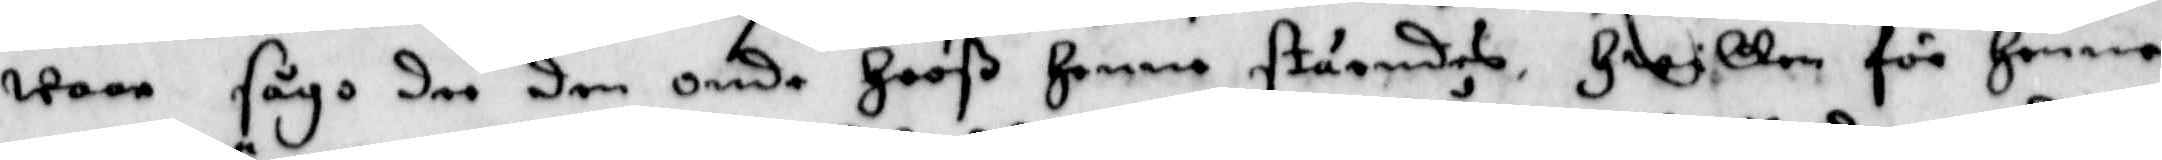waar sågo dee den Onde Hooß Henne ståendes Hwilken för Henne
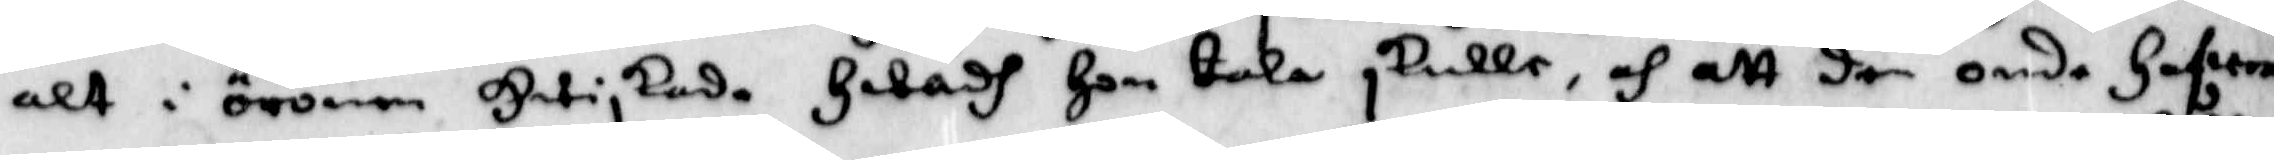alt i öronen Hwiskade Hwadh Hon tala slulle, och att den onde Hafwer
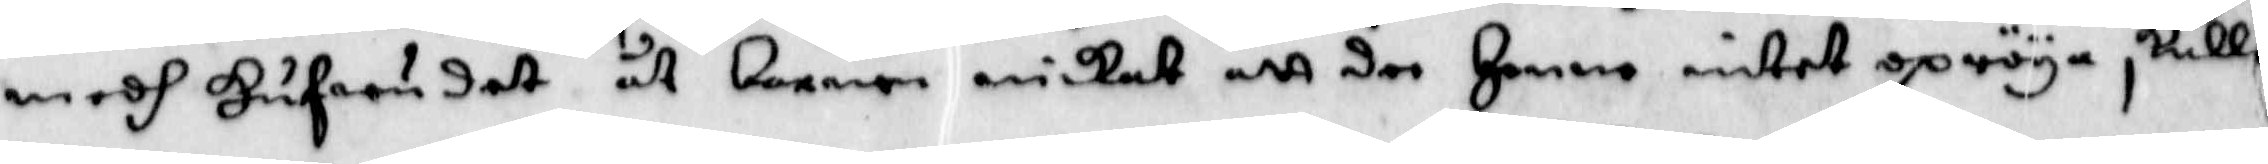medh Hufwudet åt barnen nickat att dee Henne intet spröya skulle.
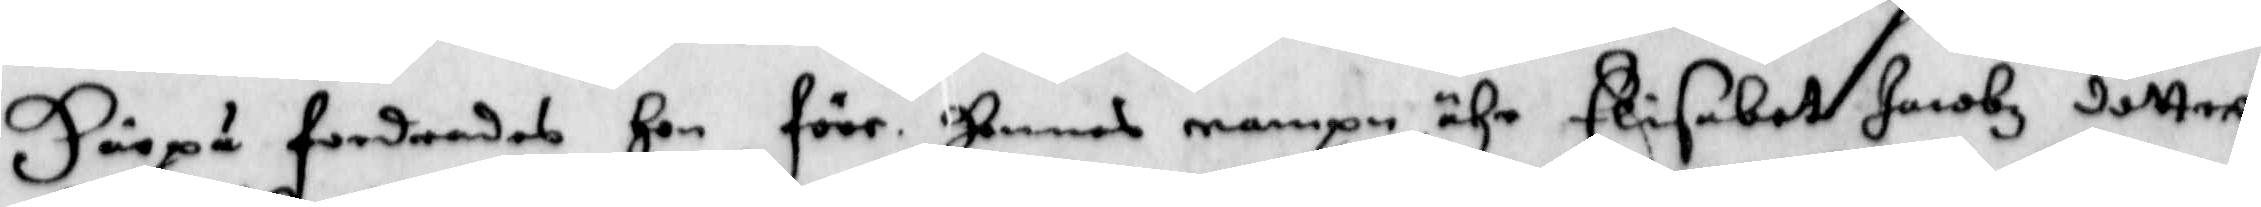Härpå fordrades Hon före. hennes nampn ähr Elisabet Jacobz dotter.
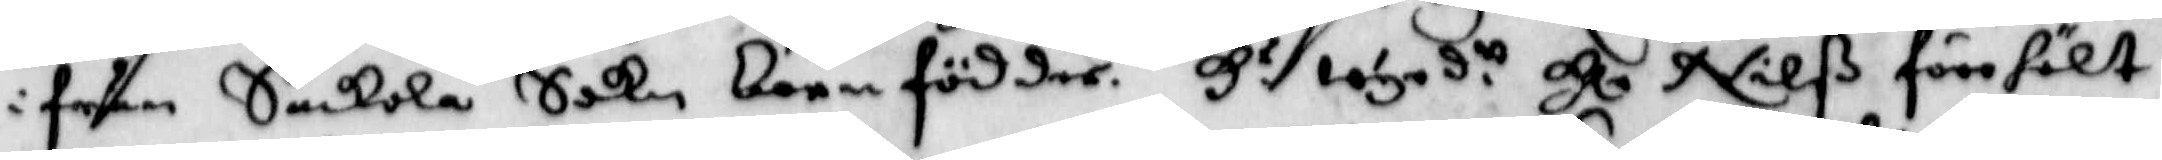ifrån Suckola Sikn barnfödder. Hs wyrd.tt Hl Nilß förehölt
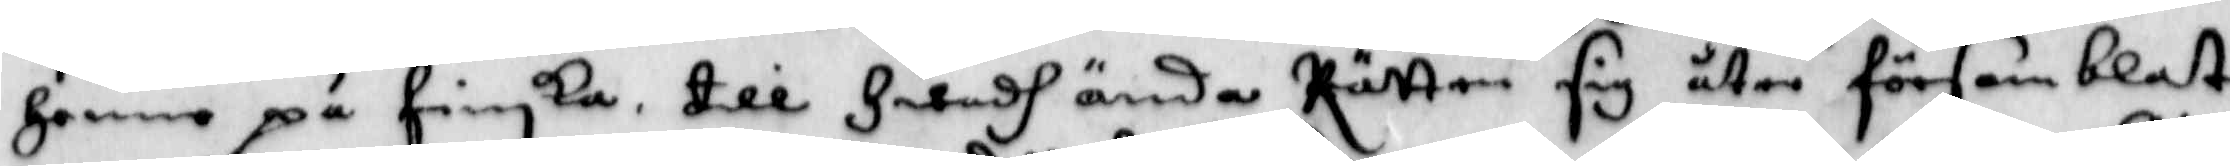Henne på finska till Hwadh ända Rätten sig åter församblat
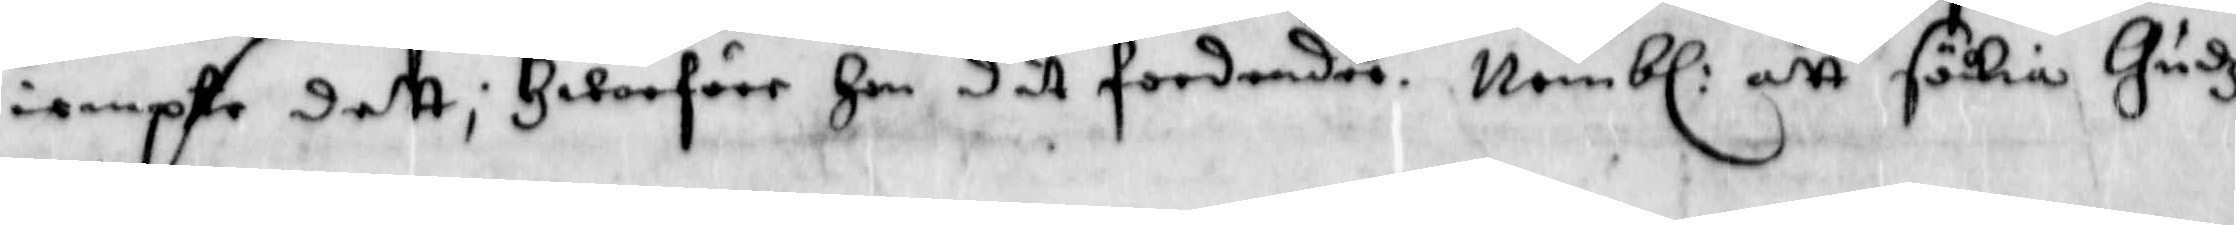iempte dett; Hwarföre Hon dit fordrande. Nembl: att sökia Gudz
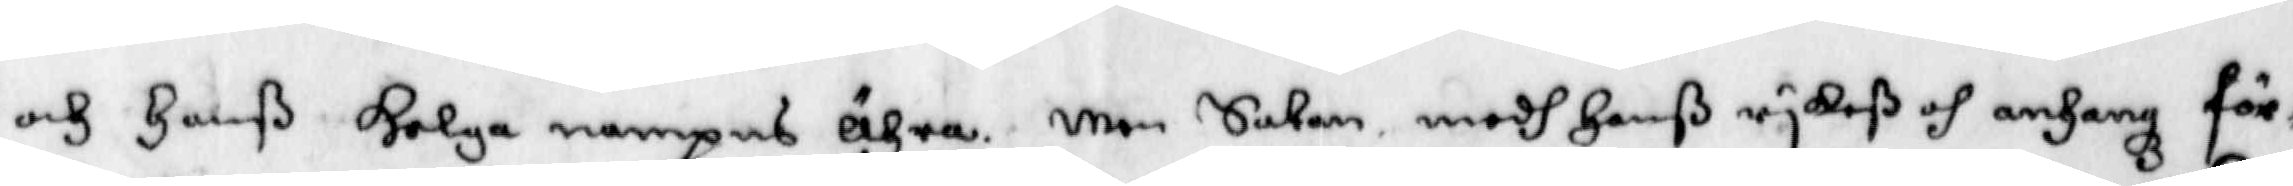och Hanß Helga nampns ähra. Men Saken medh janß rykeß och anhangz för¬
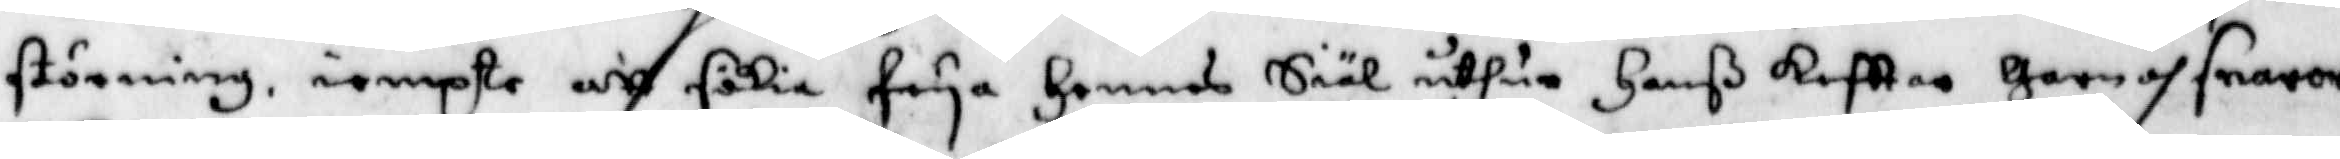störning iempte att sökia frya Hennes Siäl uthur Hanß kefttar Garn och snaror
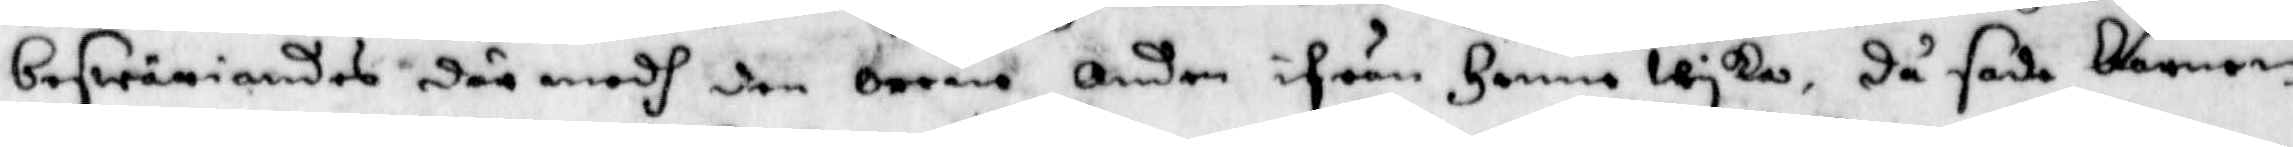beswäriandes där medh den orena Anden ifrån henne wyka, Då sade barnen
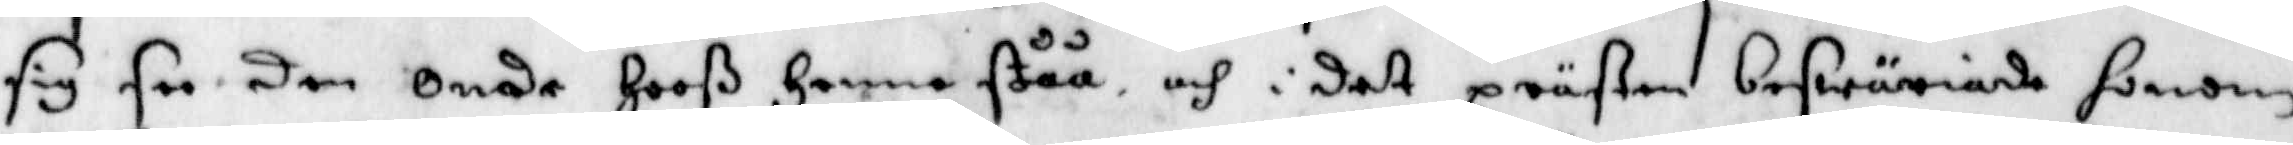sig see den Onde Hooß Henne ståå och i det prästen beswäriade Honom
